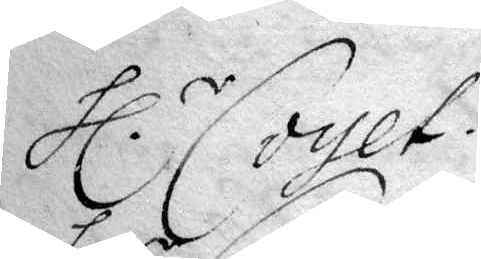hl.r Coyet.
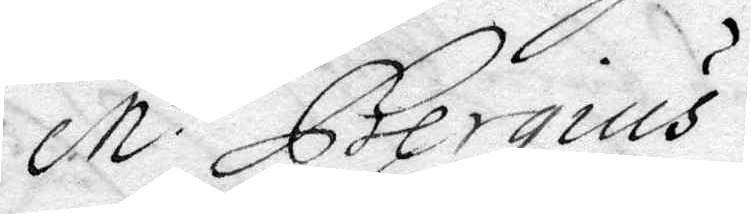M.r Bergius.
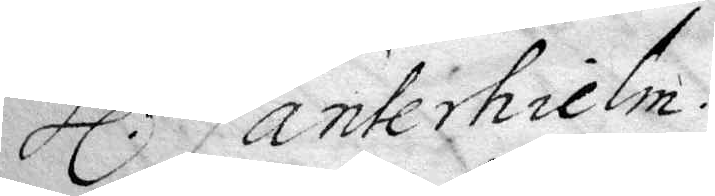hl.r Canterhielm.
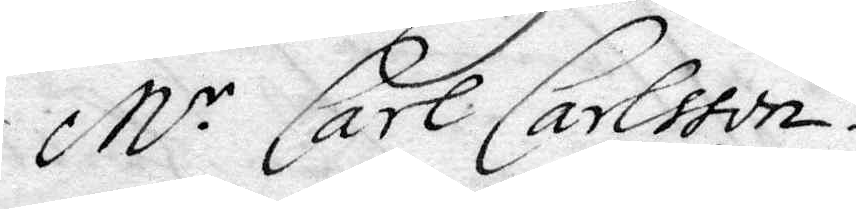M.r Carl Carlsson
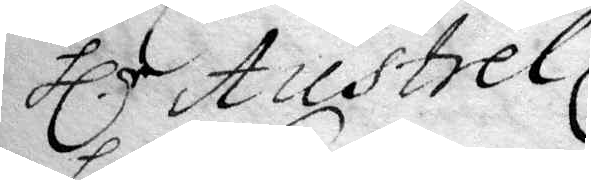hl.r Austrel.
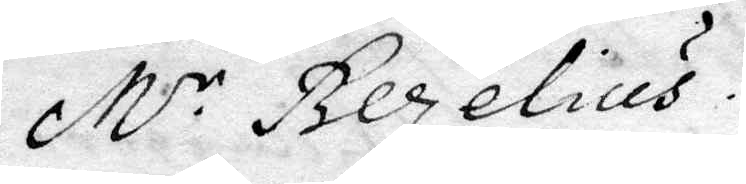M.r Bezelius.
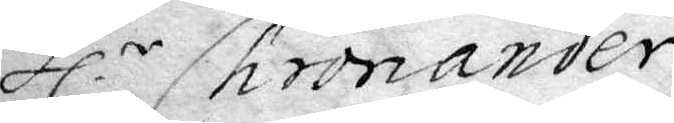hl.r Chronander.
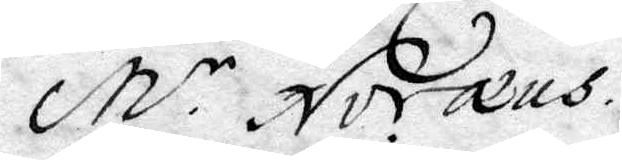M.r Noræus.
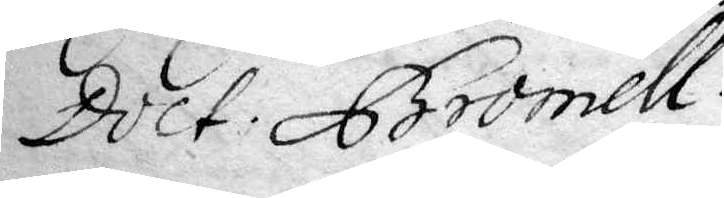Doct. Bromell.
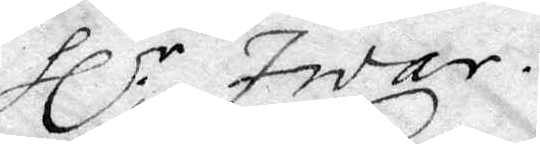hl.r Iwar.
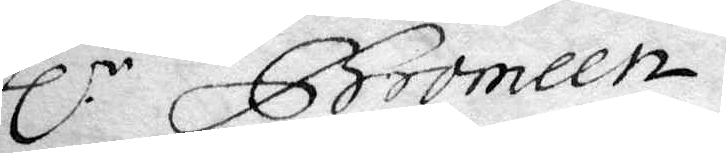hl.r Bromeen.
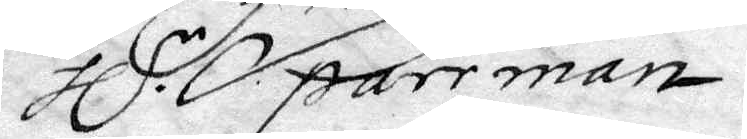hl.r Sparrman.
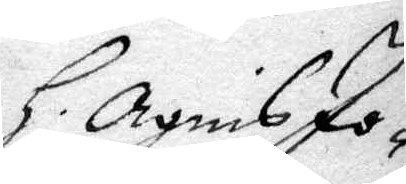h. Agnis Jo¬
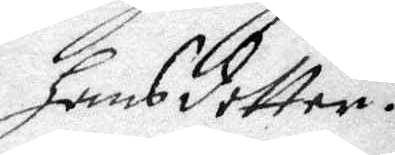hansdotter
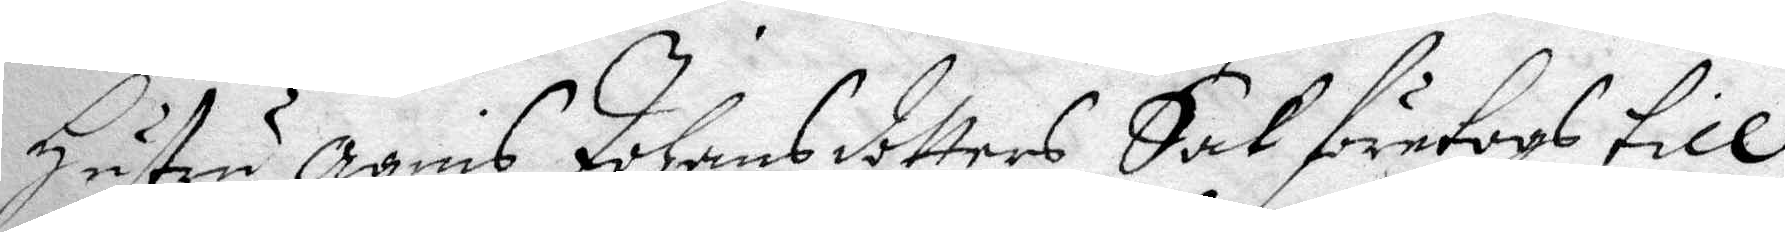hustru Agnis Johansdotters Sak företogs till
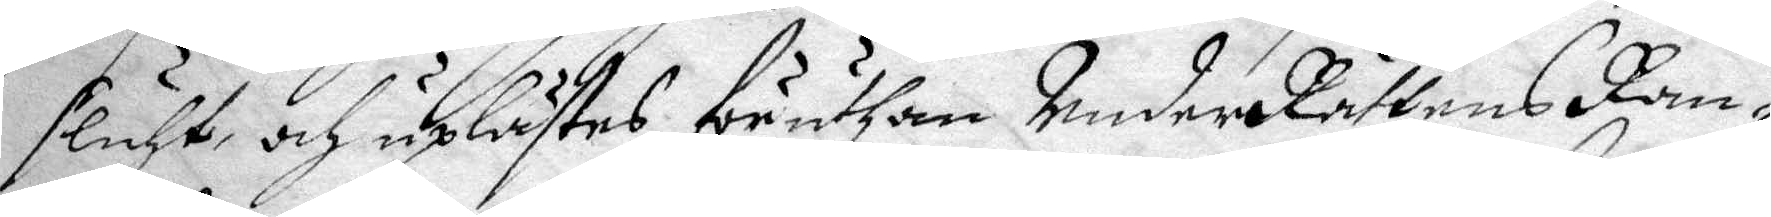sluht och uplästes föruthan UnderRättens Ran¬
